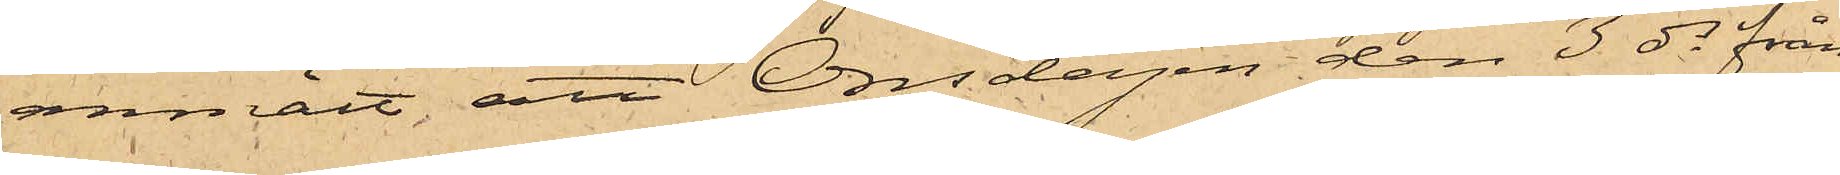anmält, att Onsdagen den 3 ds från
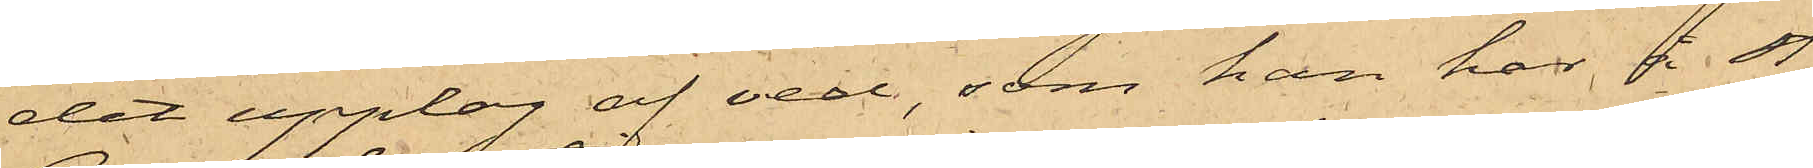det upplag af ved, som han har å St.
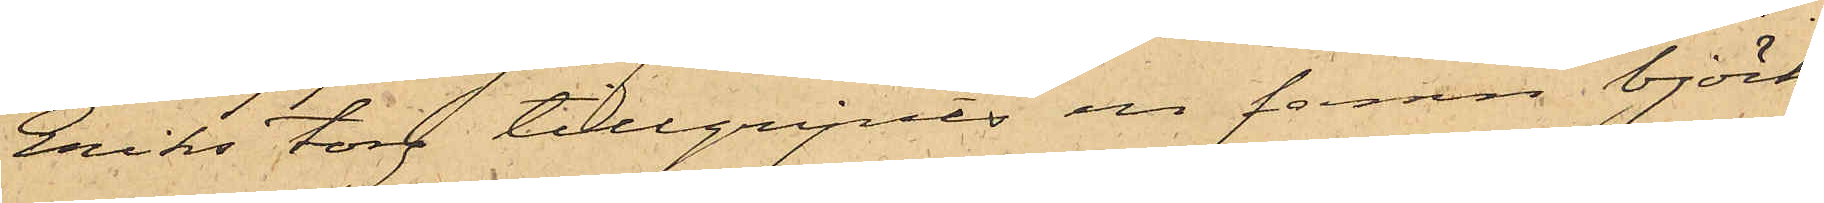Eriks torg tillgripits en famn björk¬
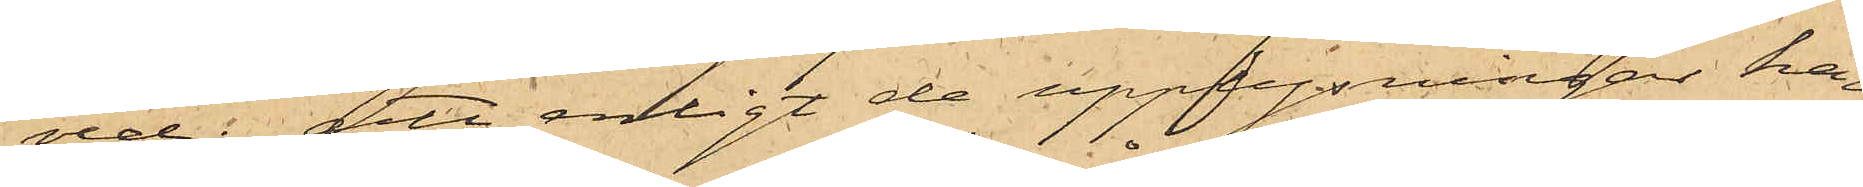ved; att enligt de upplysningar han
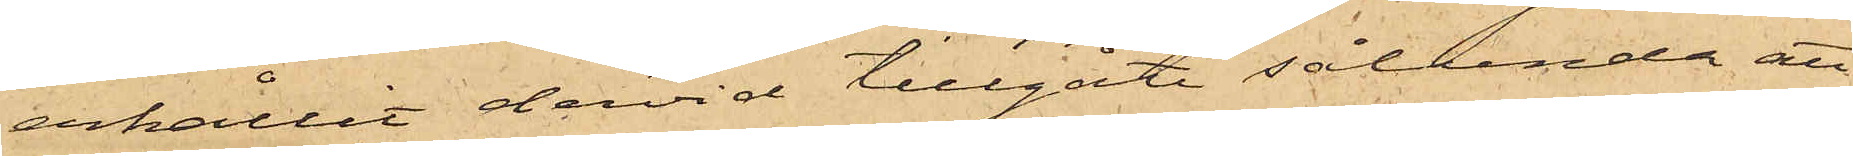erhållit dervid tillgått sålunda att
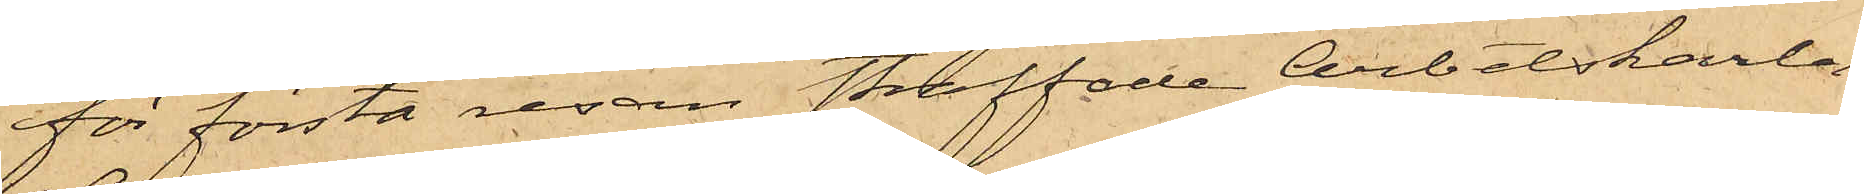för första resan straffade Arbetskarlen
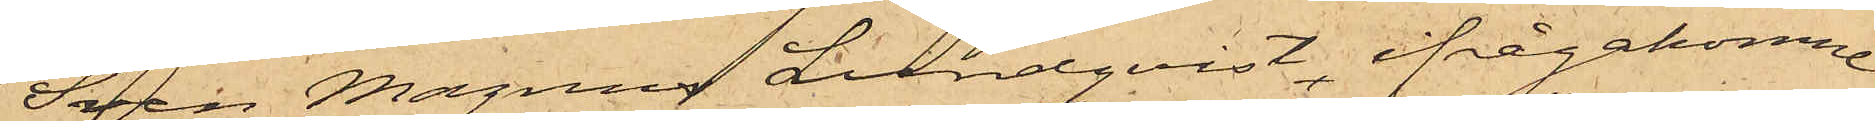Sven Magnus Lundqvist, ifrågakomne
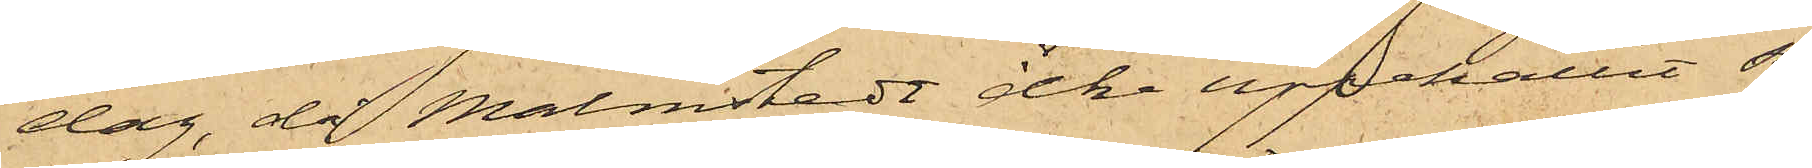dag, då Malmstedt icke uppehållit sig
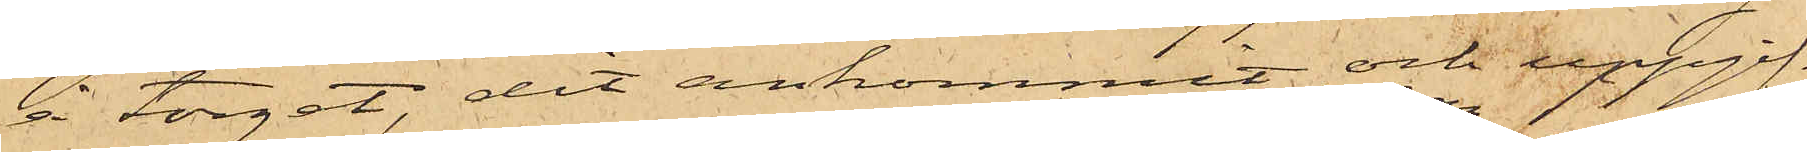å torget, dit ankommit och uppgif¬
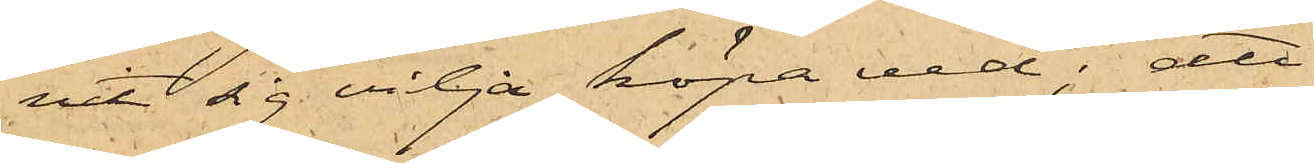vit sig vilja köpa ved; att
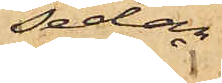sedan
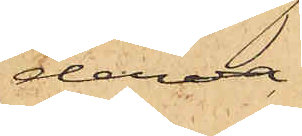derva¬
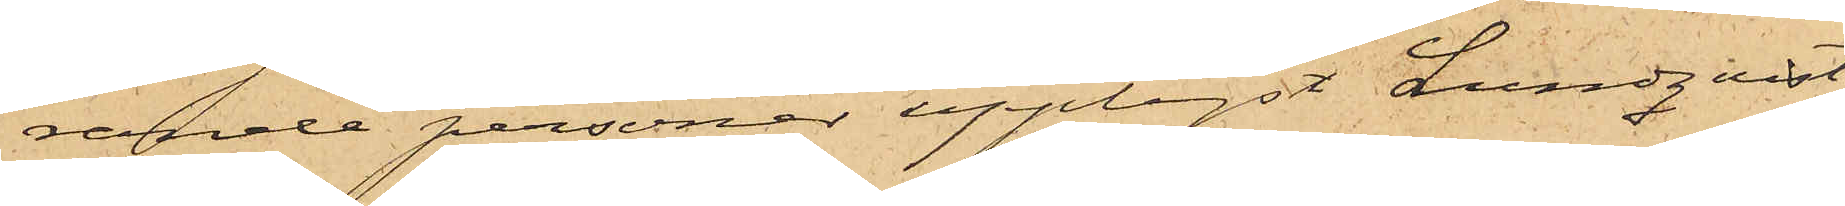rande personer upplyst Lundqvist
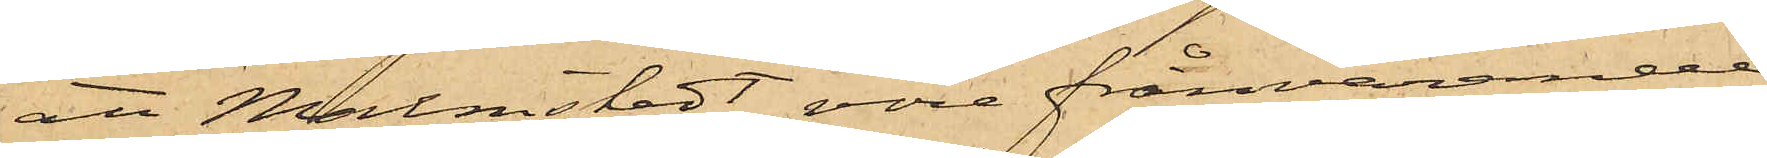att Malmstedt vore frånvarande
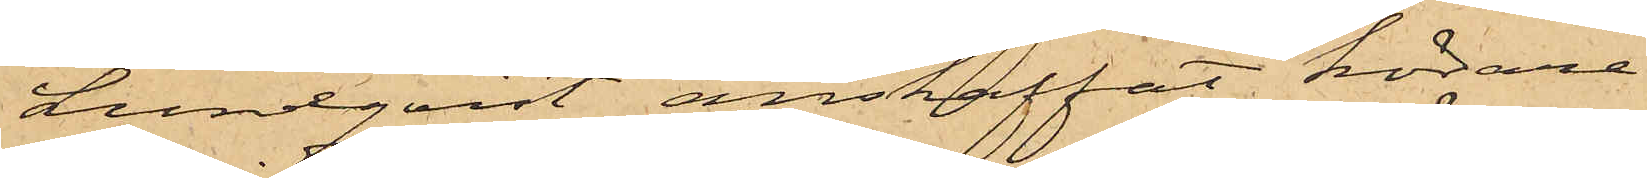Lundqvist anskaffat körare
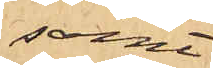samt
